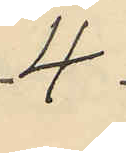4
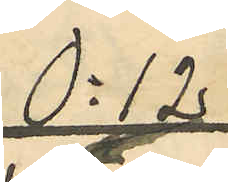0:12
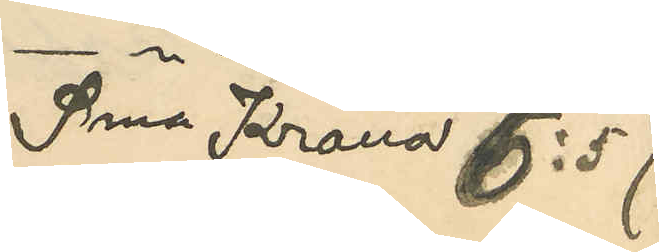Sma Kronor 6:57
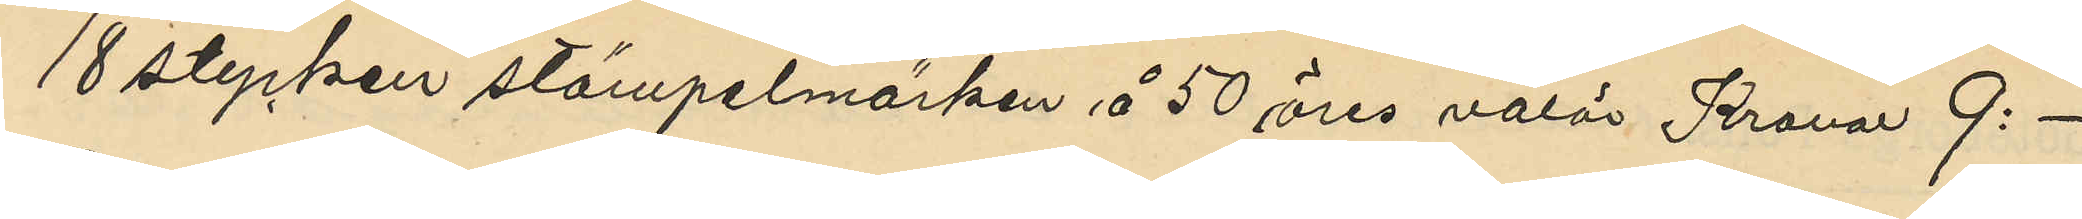18 stycken stämpelmärken å 50 öres valör Kronor 9:-
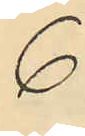6
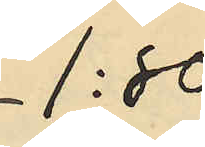1:80
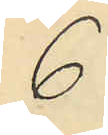6
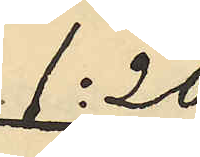1:20
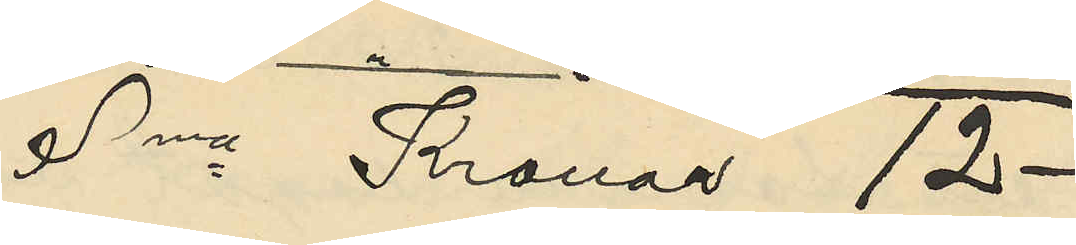Sma Kronor 12-
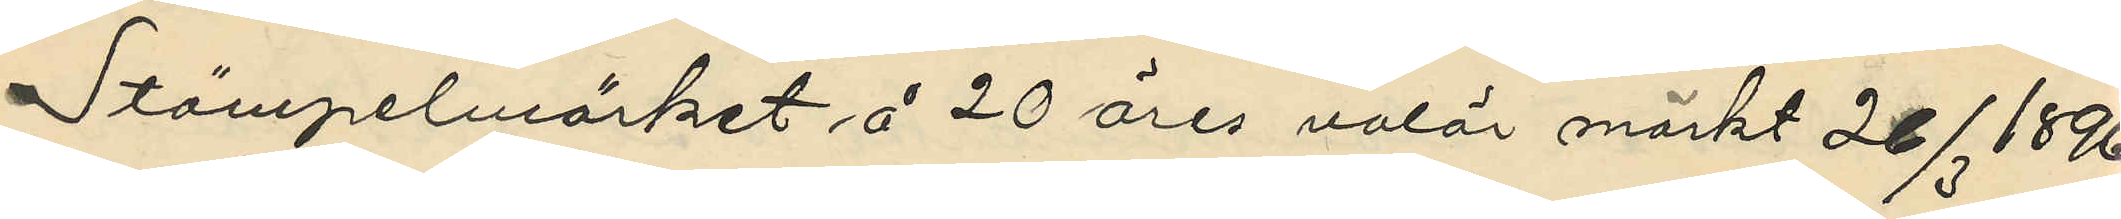Stämpelmärket å 20 öres valör märkt 26/3 1896
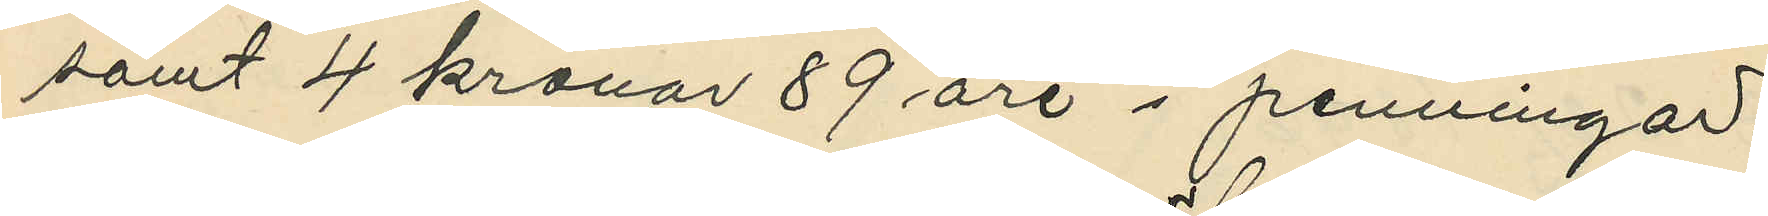samt 4 kronor 89 öre i penningar.
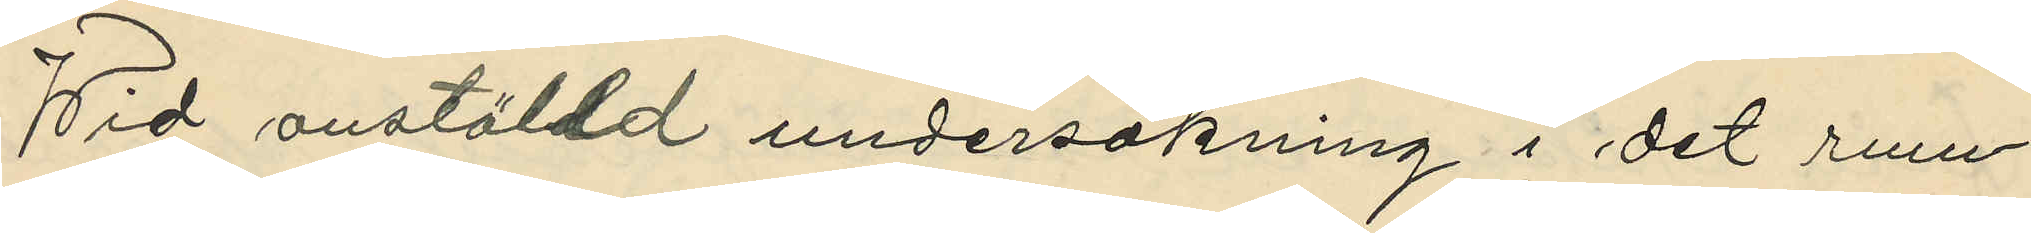Wid anställd undersökning i det rum
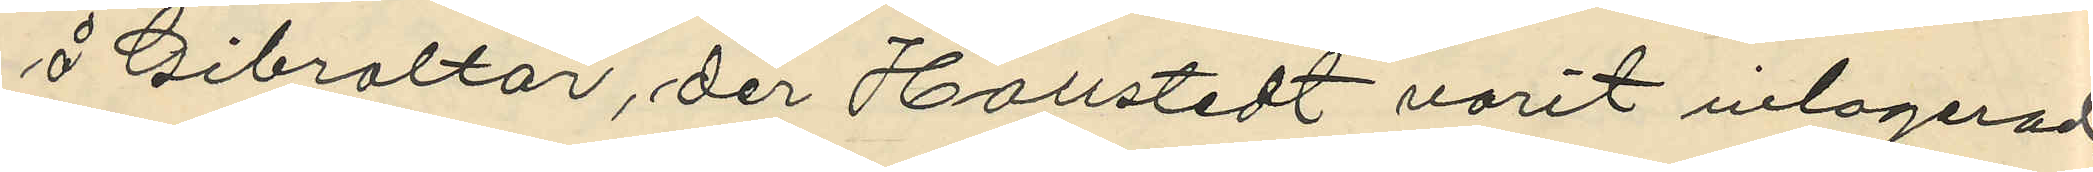å Gibraltar, der Hallstedt varit inlogerad,
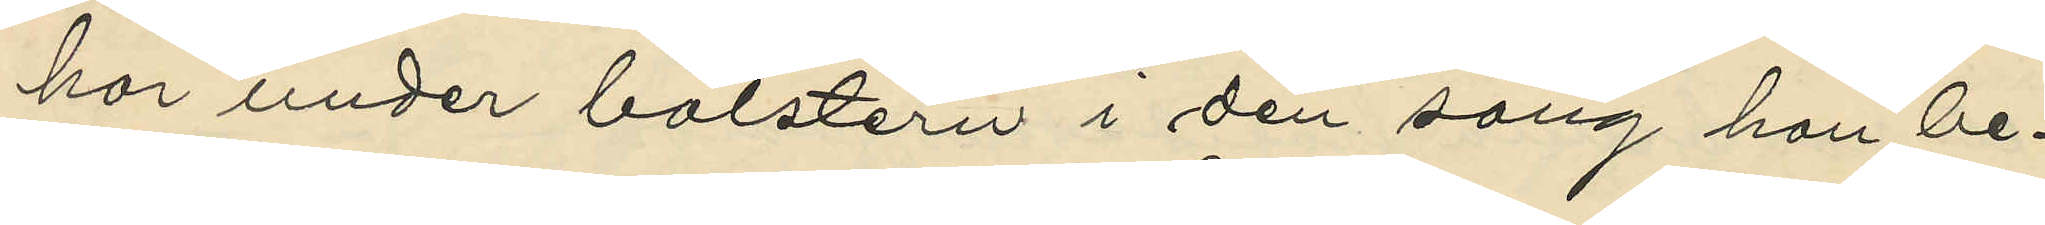har under bolstern i den säng han be¬
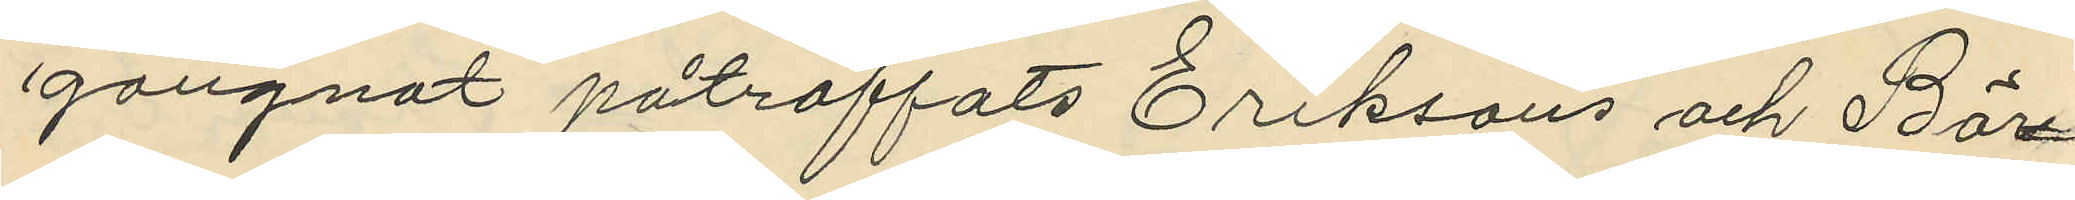gangnat påträffats Eriksons och Bör¬
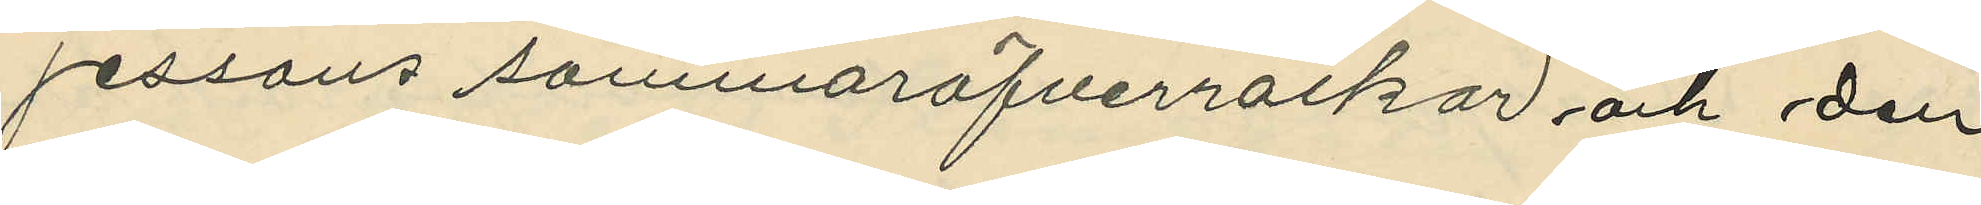jessons sommaröfverrockar och den
